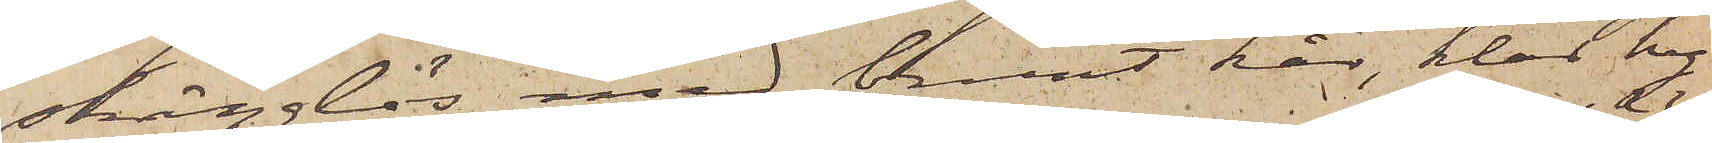skägglös med brunt hår, klar hy
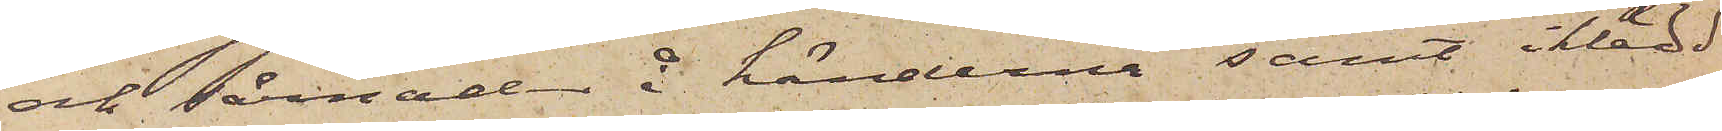och sårnad å händerna samt iklädd
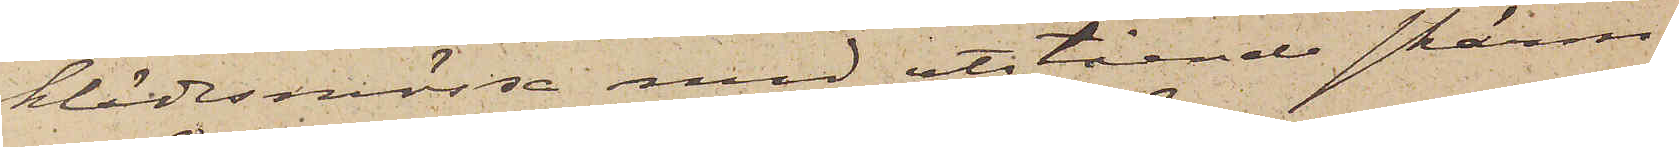klädesmössa med utstående skärm,
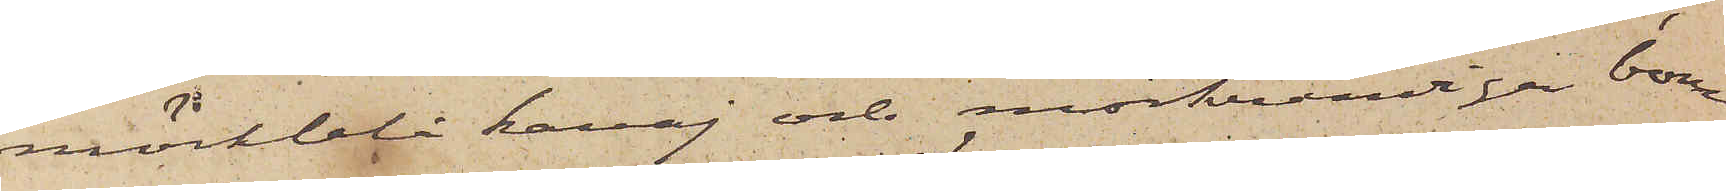mörkblå kavaj och mörkrandiga bom¬
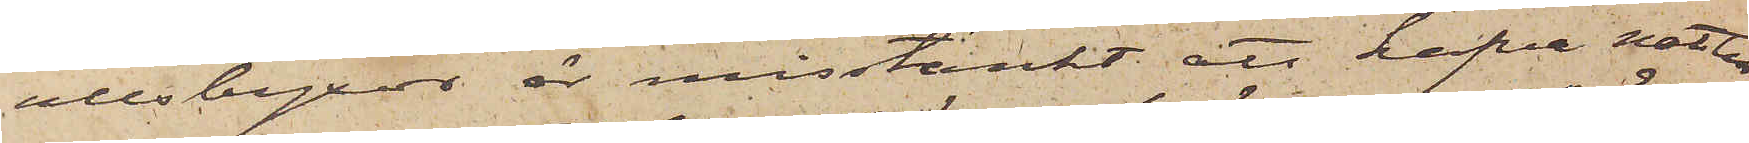ullsbyxor är misstänkt att hafva natten
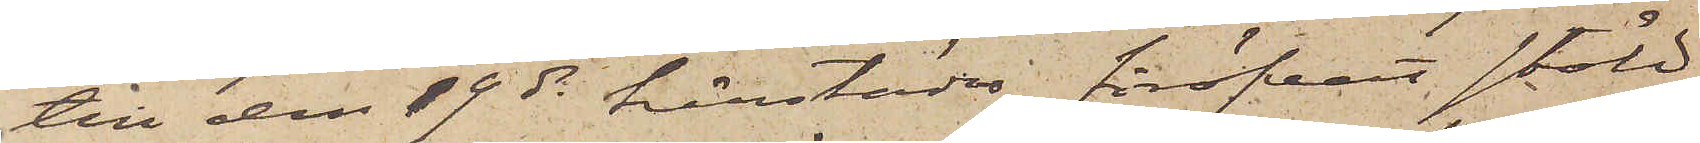till den 19 ds härstädes föröfvat stöld
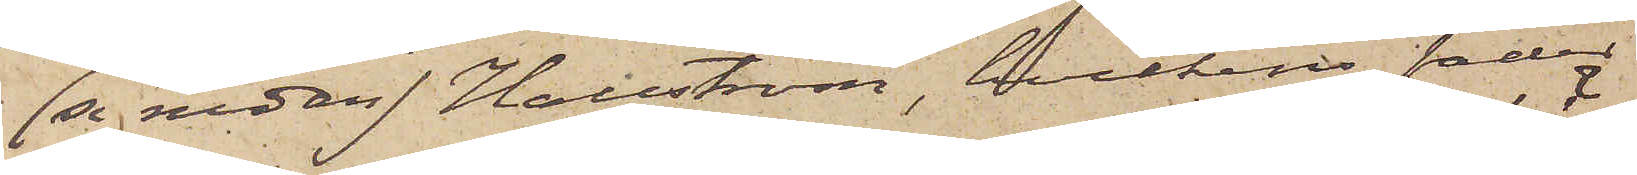(se nedan) Hallström, hvilkens fader
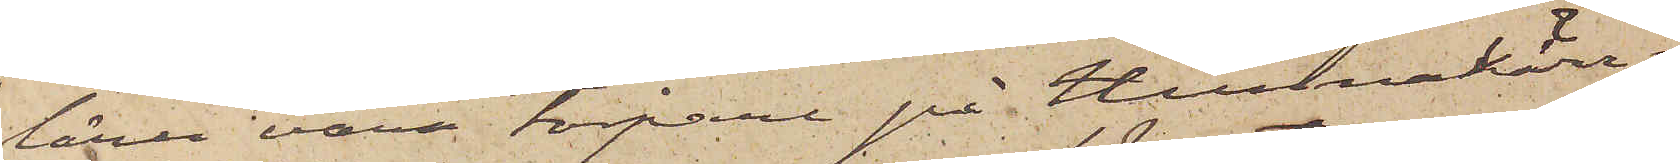lärer vara torpare på Hunnakärr i
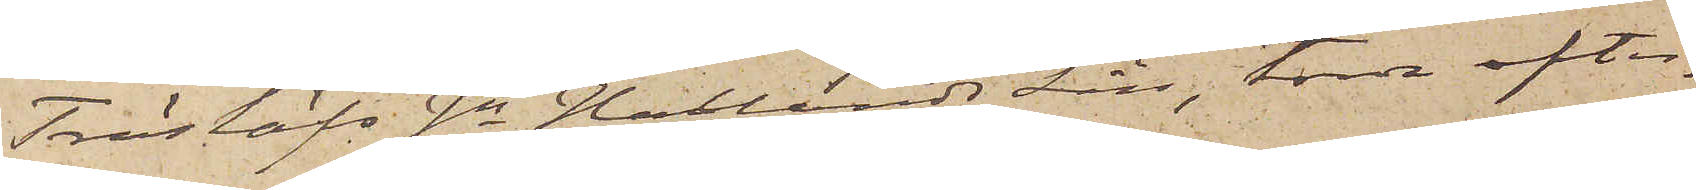Träslöfs sn Hallands Län, torde efter¬
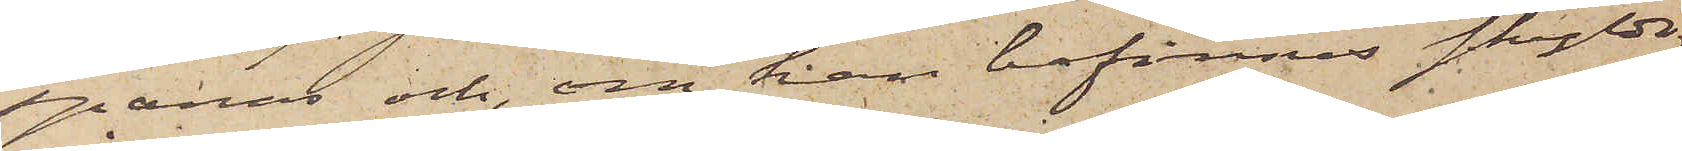spanas och, om han befinnes skyldig
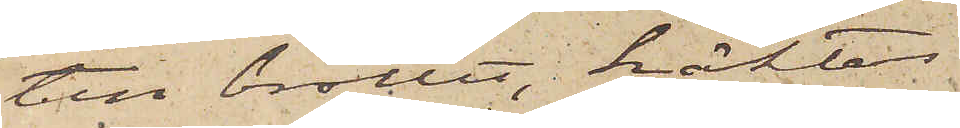till brottet, häktas.
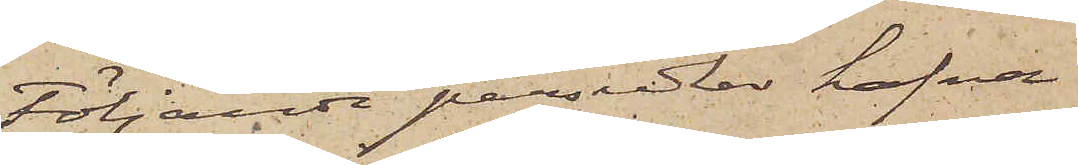Följande persedlar hafva
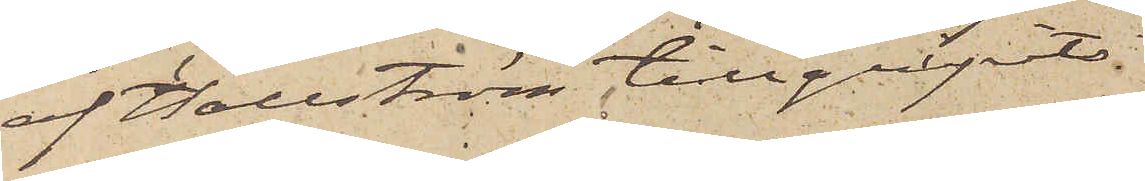af Hallström tillgripits.
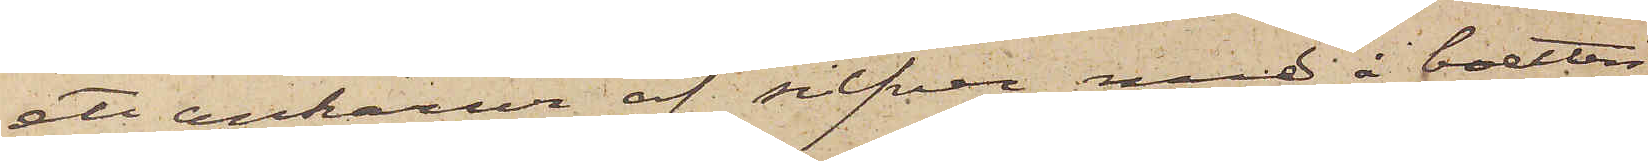ett ankarur af silfver med i boetten
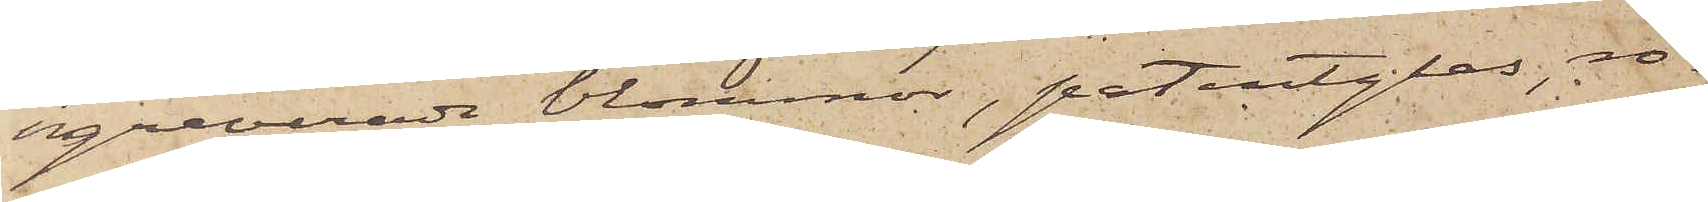graverade blommor, patentglas, ro¬
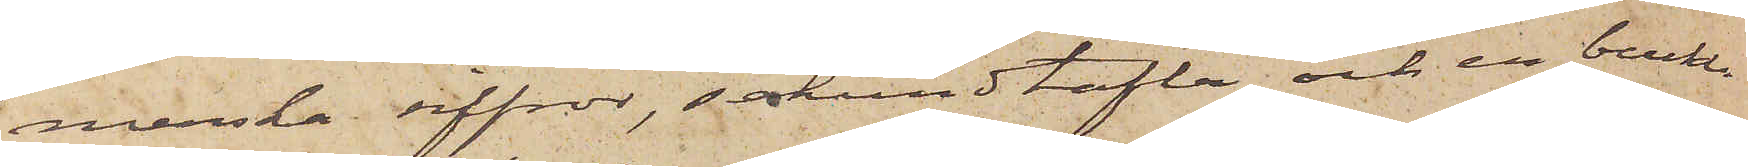merska siffror, sekundtafla och en buckla
